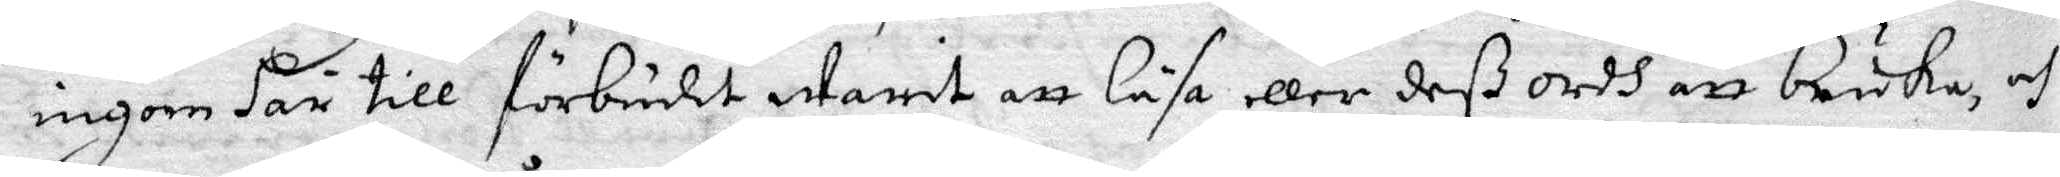ingen här till förbudit Warit att läsa eller deß ordh att bruka, och
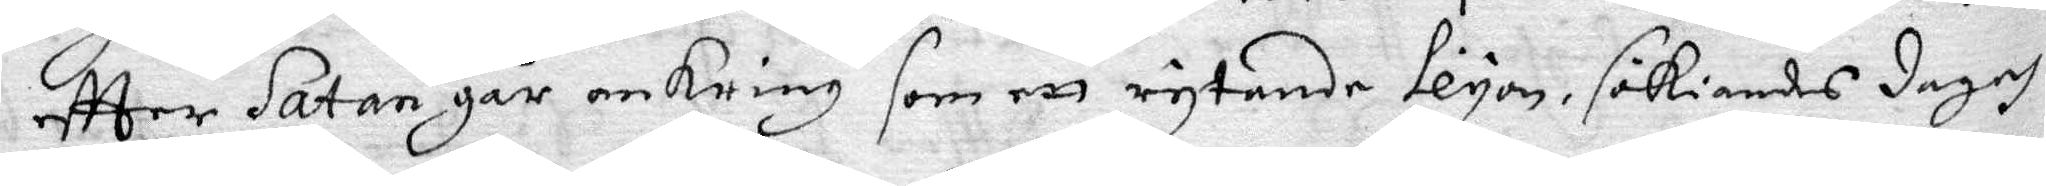eftter Satan går omkring som ett rytande Leyon, sökiandes dag och
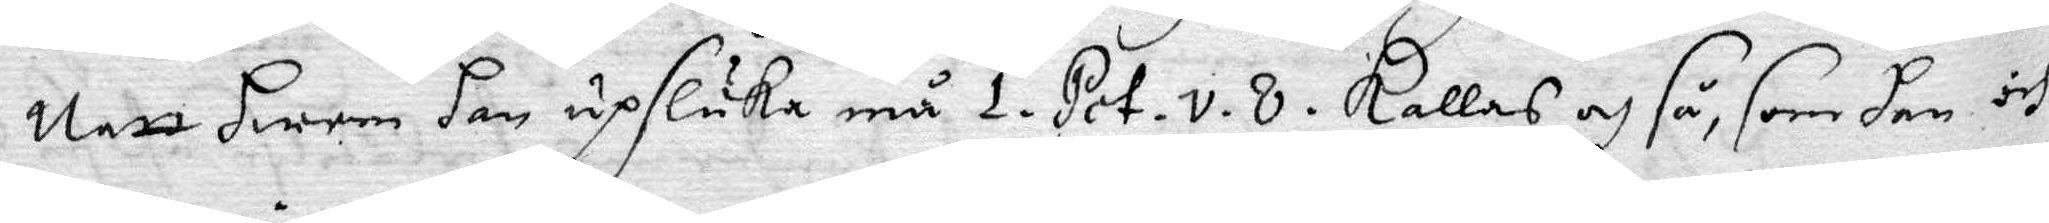Natt hwem han upsluka må 1. Pet. v. 8. kallas och så, som han och
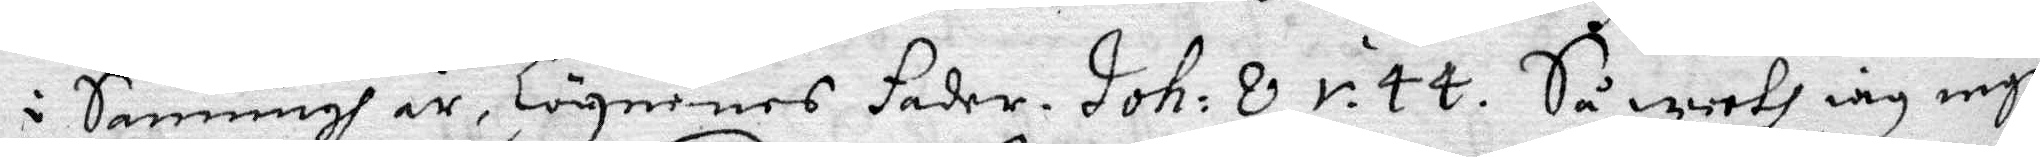i Sanning är, Lögnernes fader. Joh: 8. v. 44. Så weeth iag inge
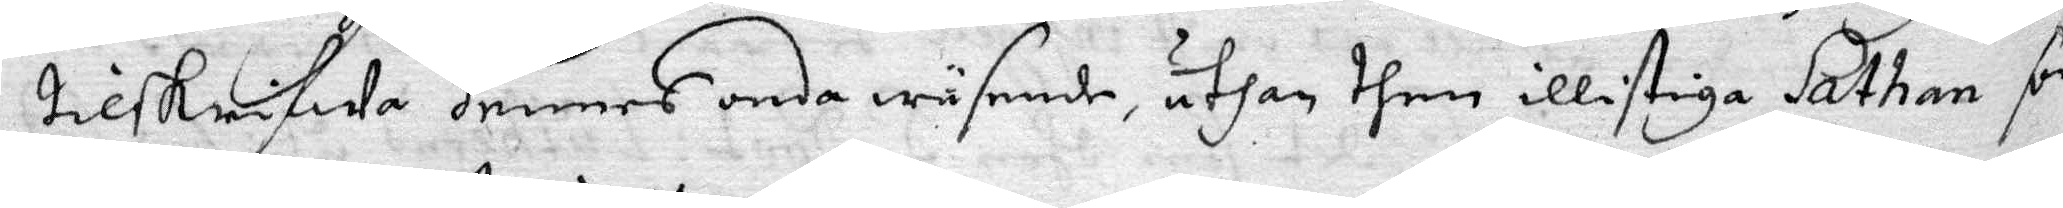tilskrifWa hennes onda wäsende, uthan them illistige Sathan som
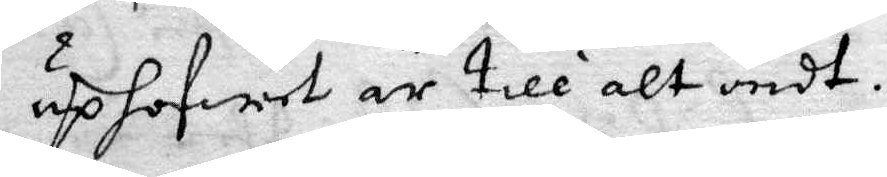uphofwet är till alt ondt.
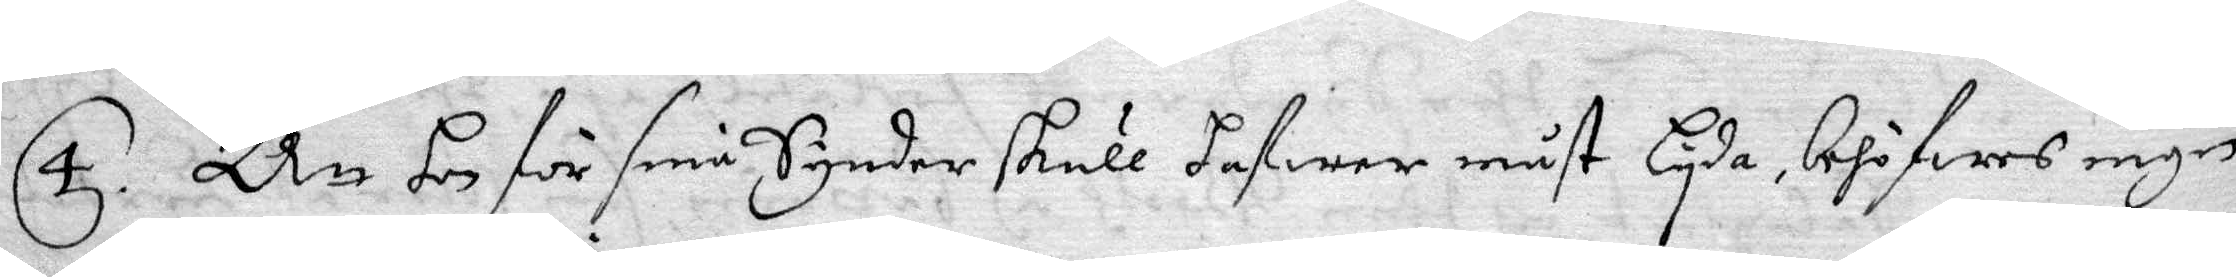4. Att hon för sina Synder skull hafwer måst lyda, behöfwes ingen
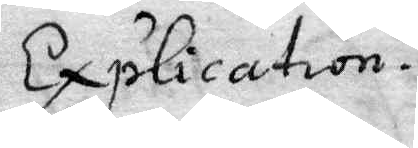Explication.
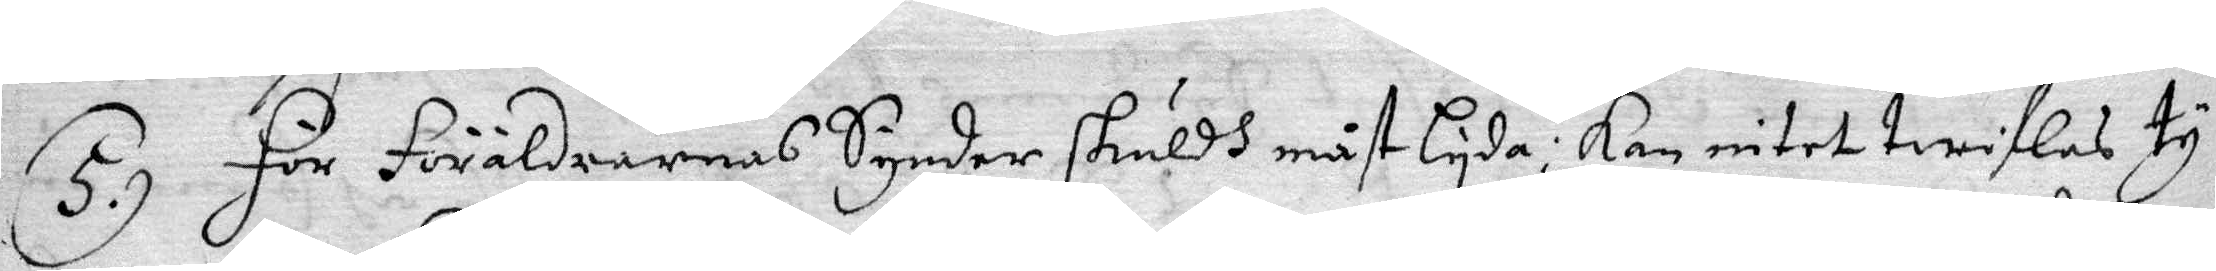5. För föräldrarnas Synder skuldh måst lyda; kan intet twiflas ty
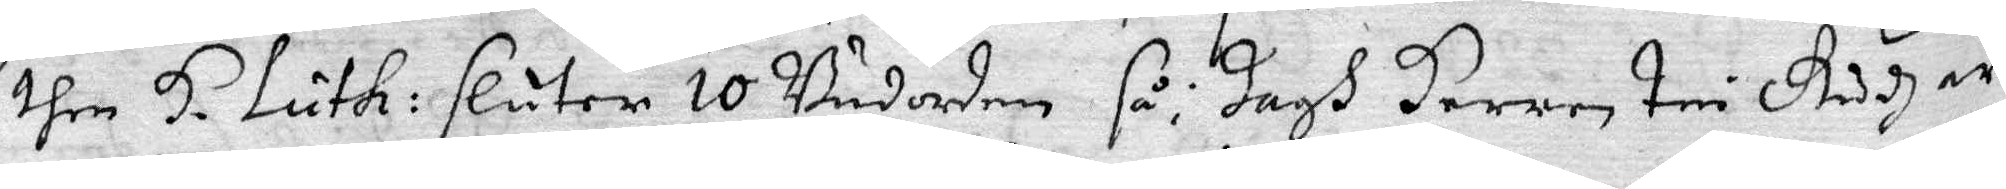then H. Luth: sluter 10 Budorden så; Jagh Herren tri Gudh är
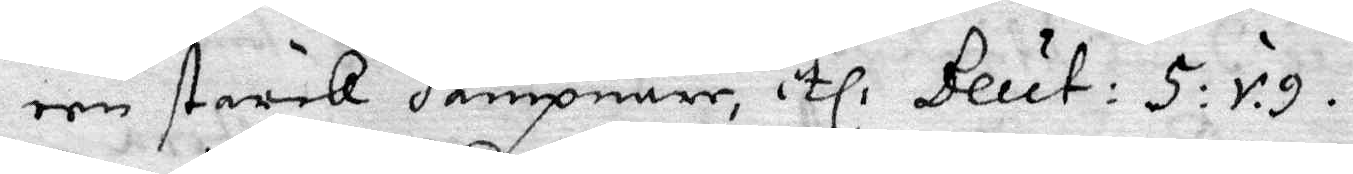een stark Hämpnare, tl: Beut: 5: v. 9.
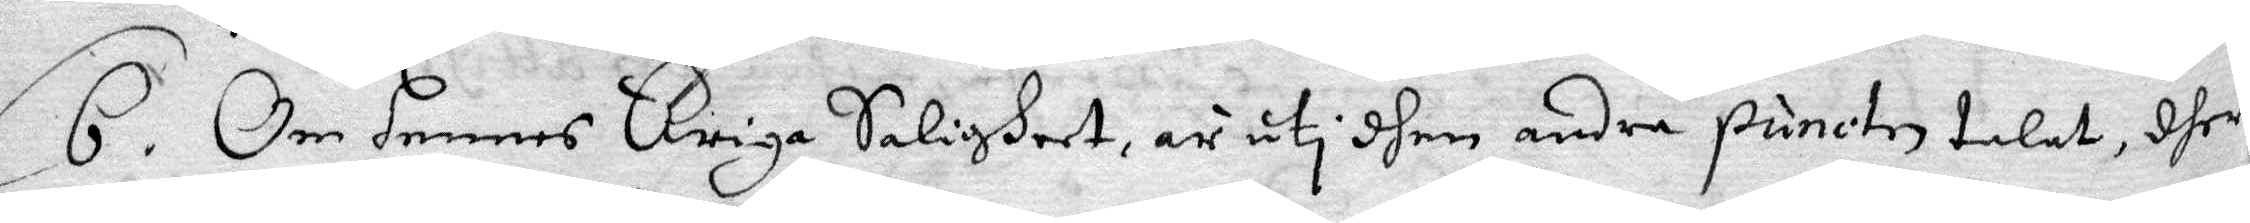6. Om hennes Ewiga Saligheet, är uti dhen andra puncten talat, dher
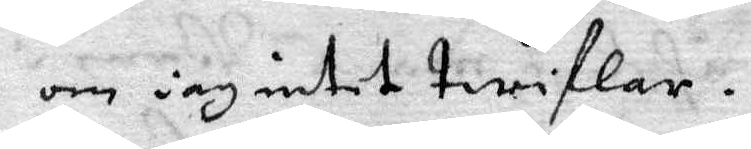om iag intet twiflar.
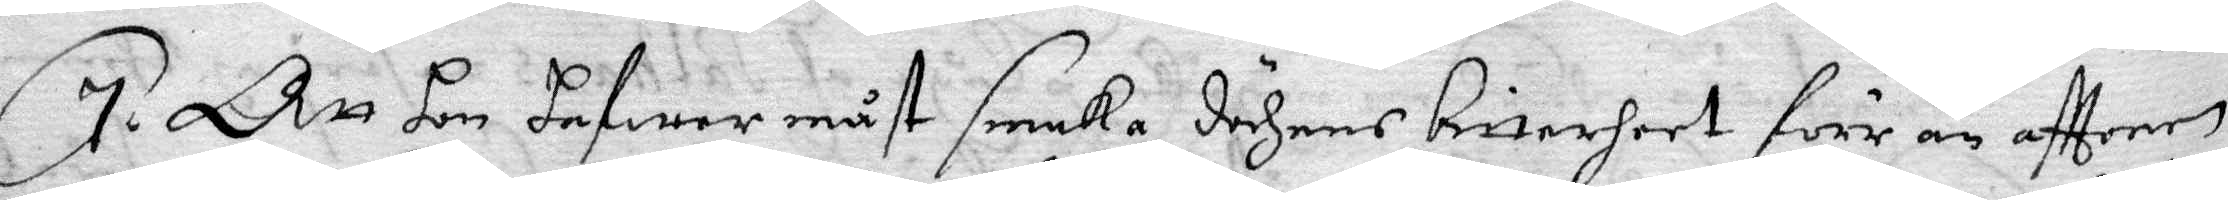7. Att hon hafwer måst smaka dödhens bitterheet förr än afttonen
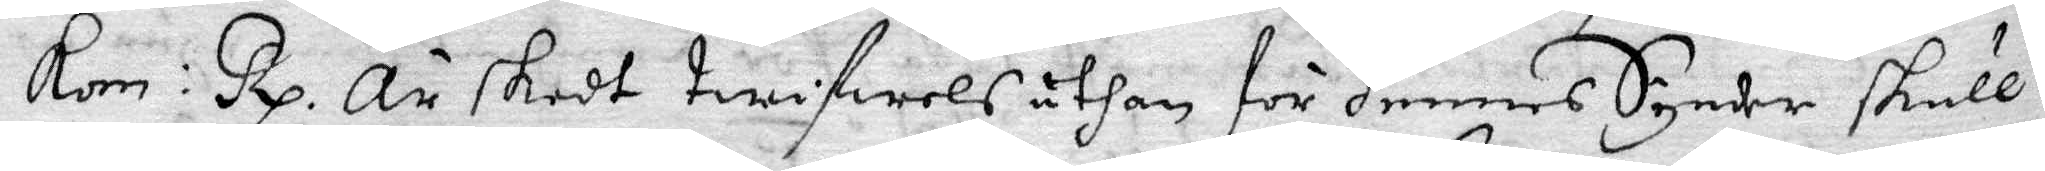Kom: Rx. Är skedt twifwels uthan för hennes Synder skull,
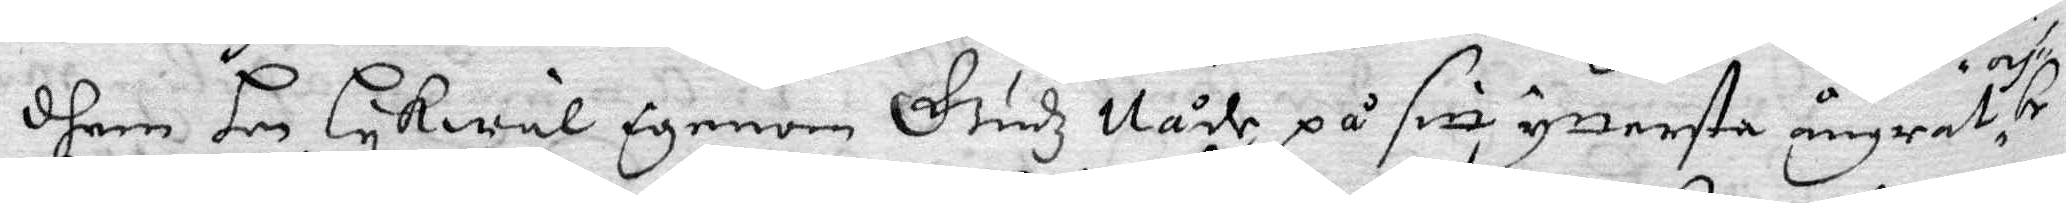dhem hon lykwäl igenom Gudz Nåde på sitt yttertsa ångrat och be¬
